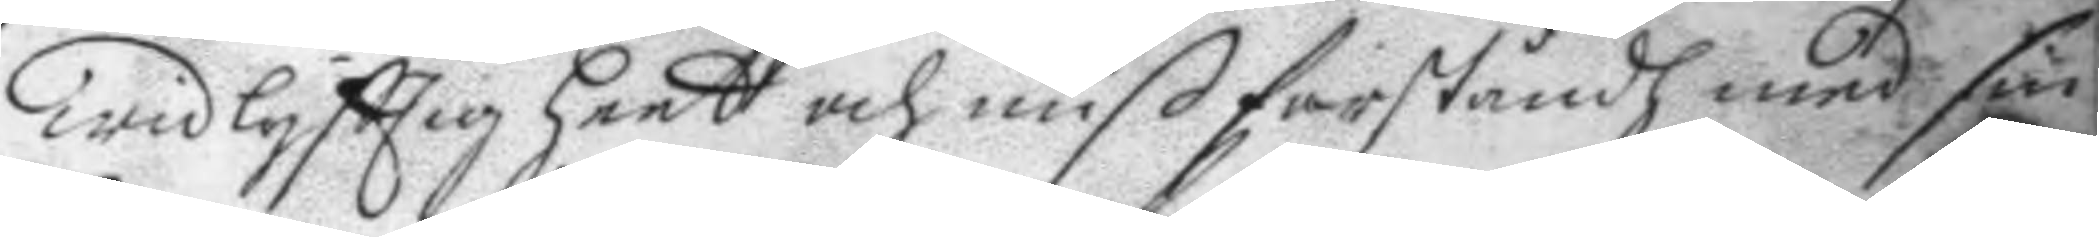widlyfttig heet och mißforståndh med sin
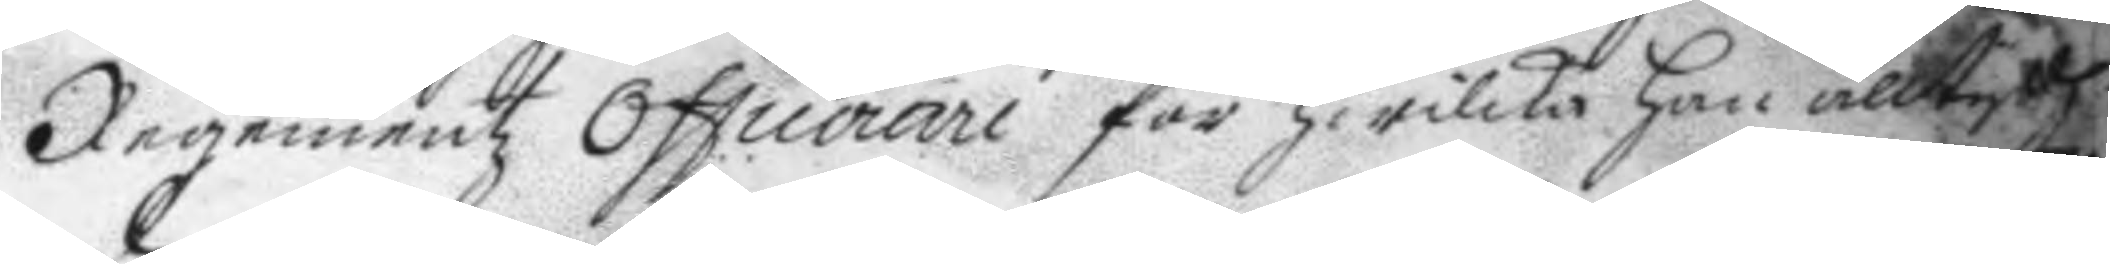Regementz Officerare för hwilka han alltydh
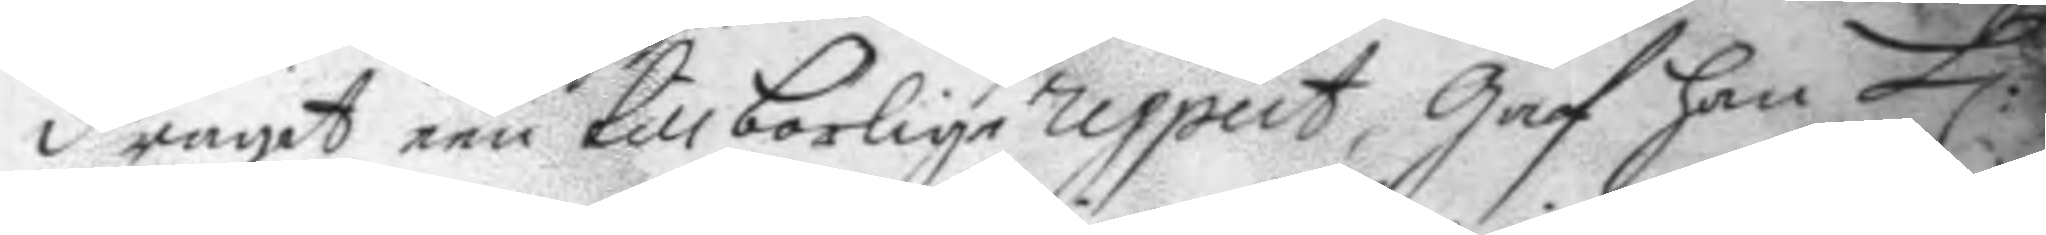dragit een tillborlige rapport, Gaf han H:r
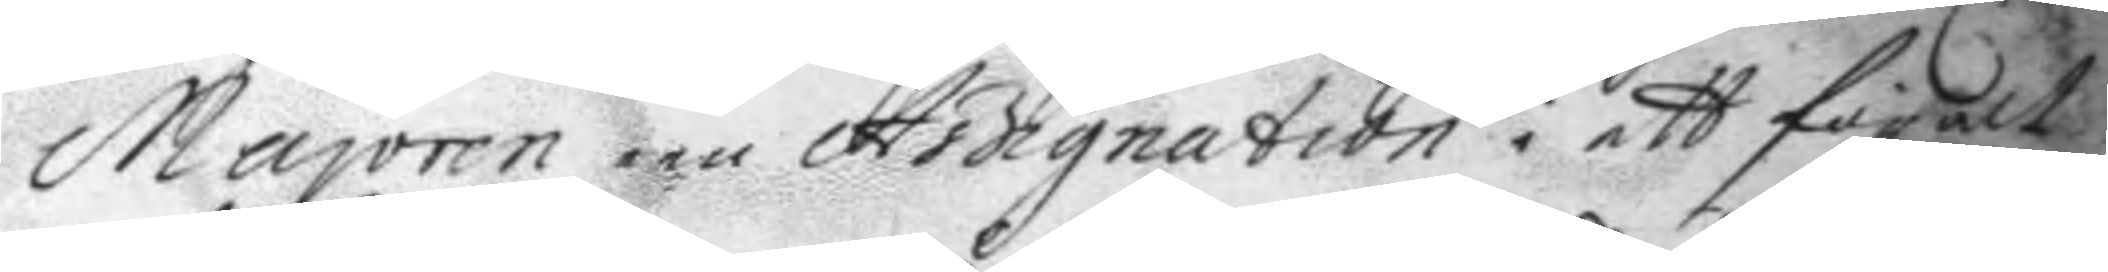Majoren een Ardignation i ett föralt
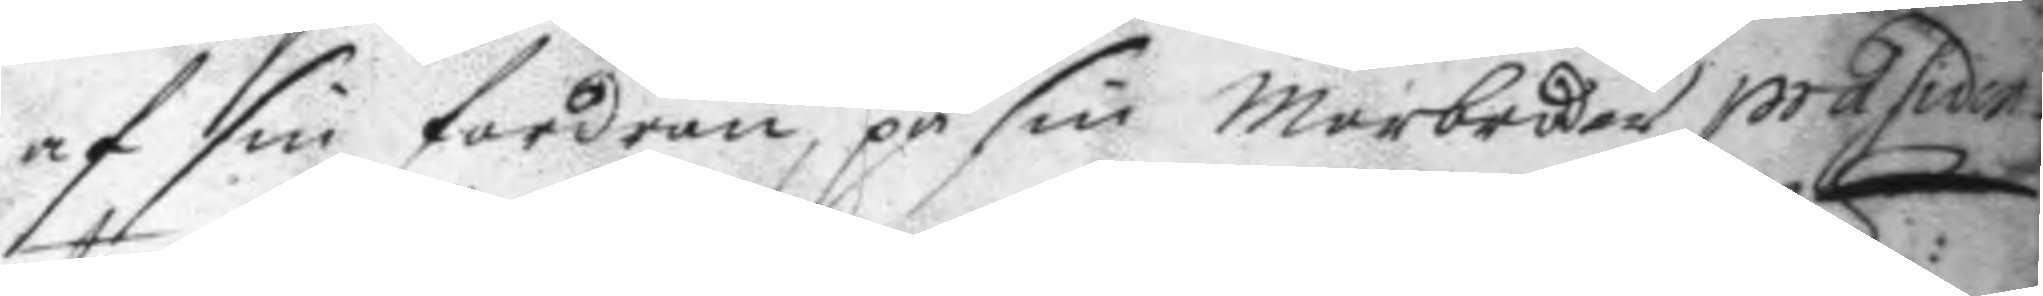af sin fordran, på sin morbroder präsiden¬
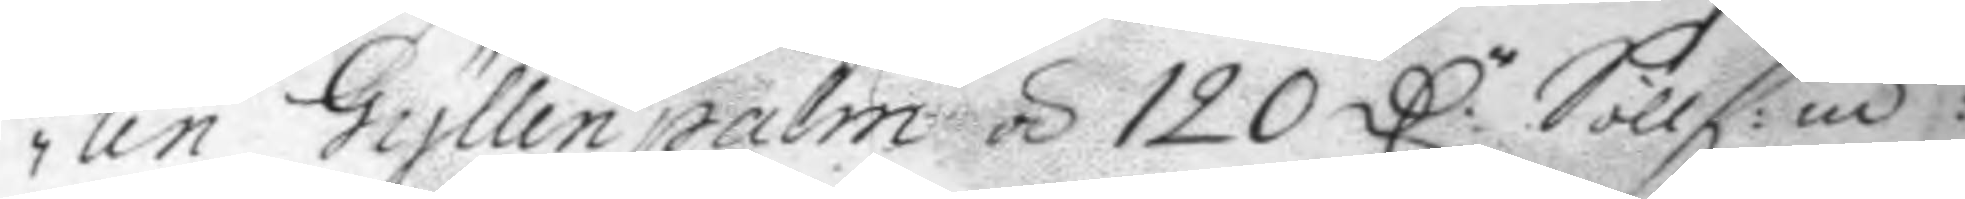ten Gyllenpalm á 120 D:r Söllf:m:t
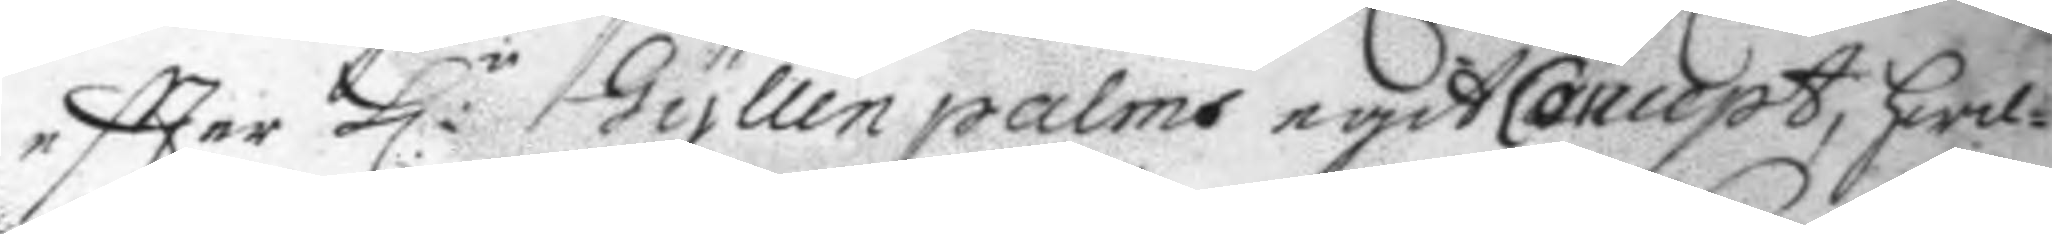eftter H:r Gyllenpalms egit Concept, hwil¬
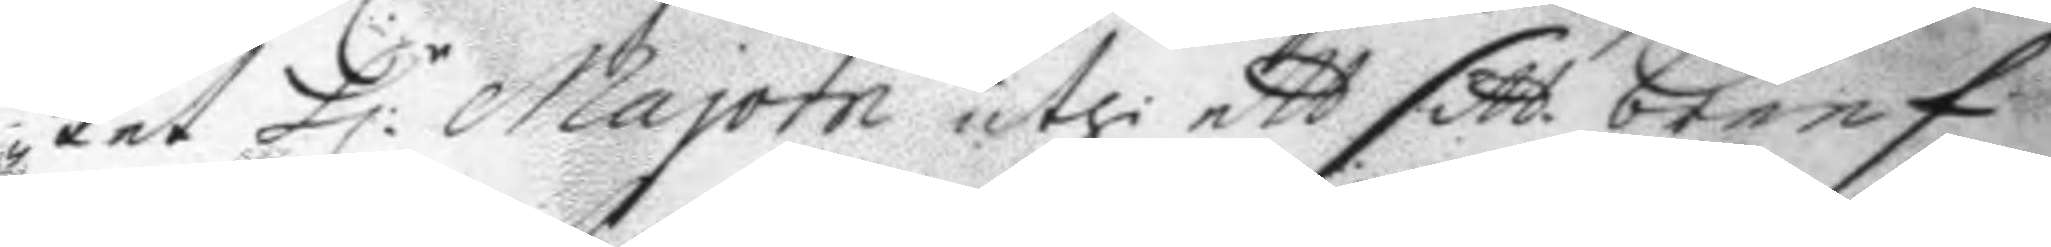ket H:r Majorn uthi ett sitt breef
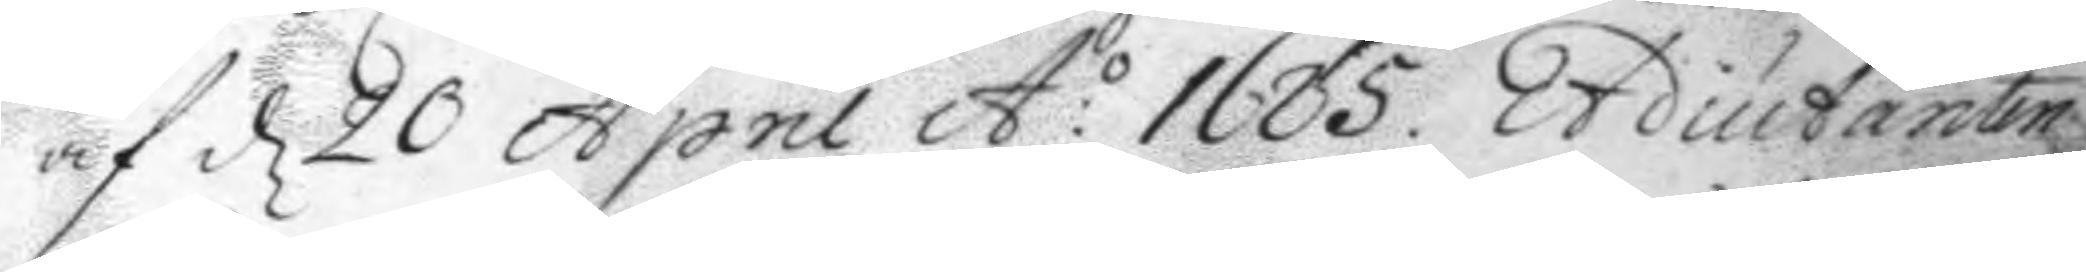af d 20 April A:o 1685. Adiutanten
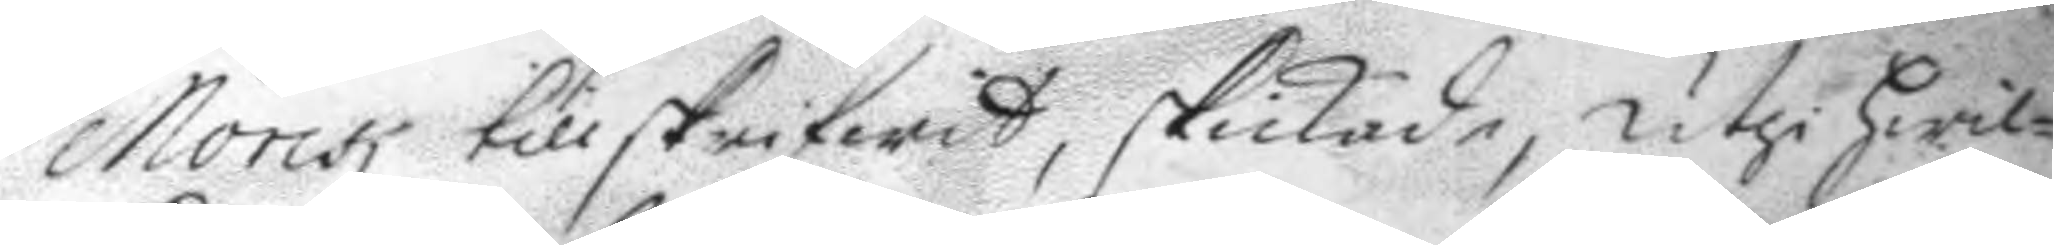Monk till skrifwit, skickade, uthi hwil¬
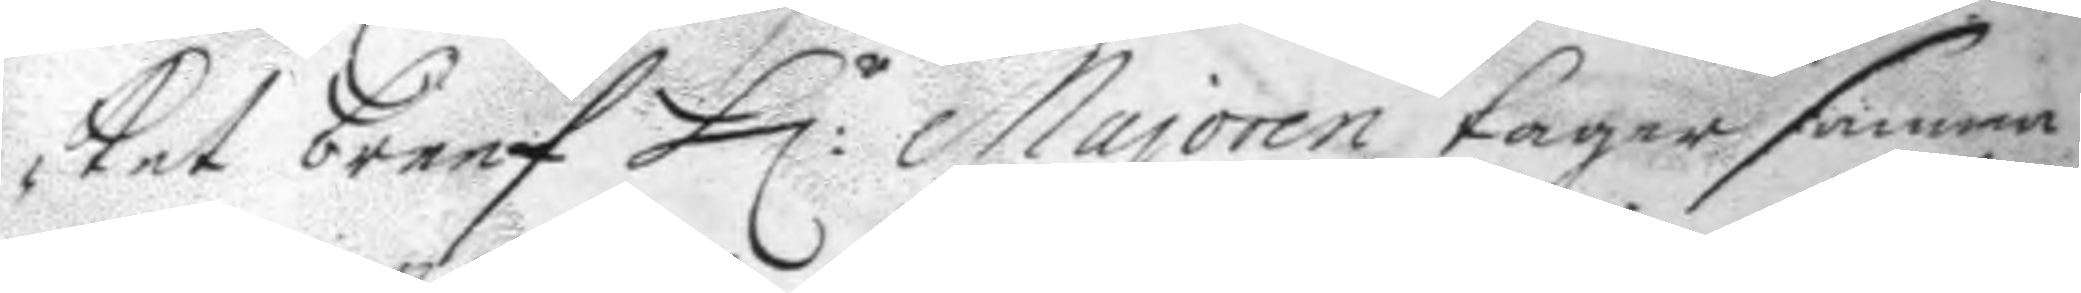ket breef H:r Majoren tager samma
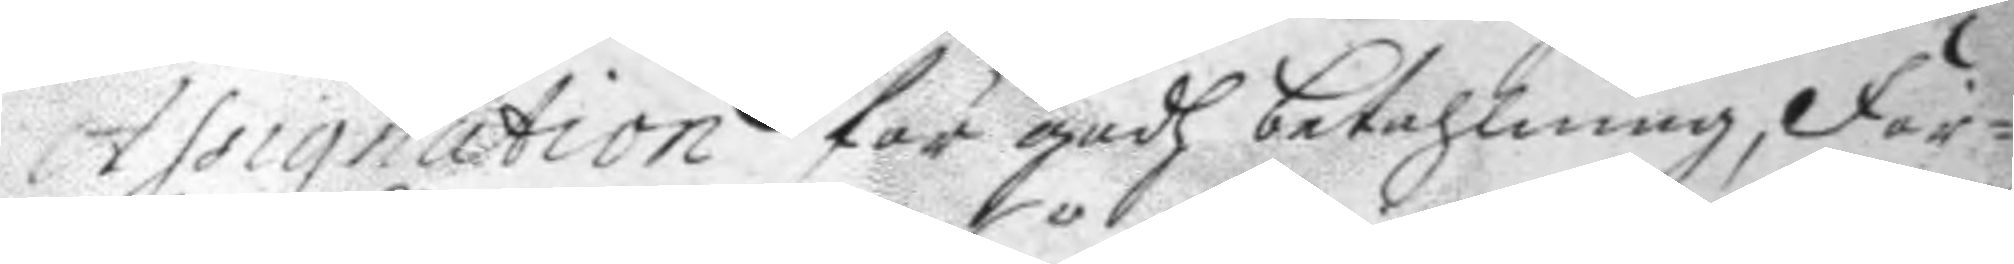Assignation för godh betahlning, För¬
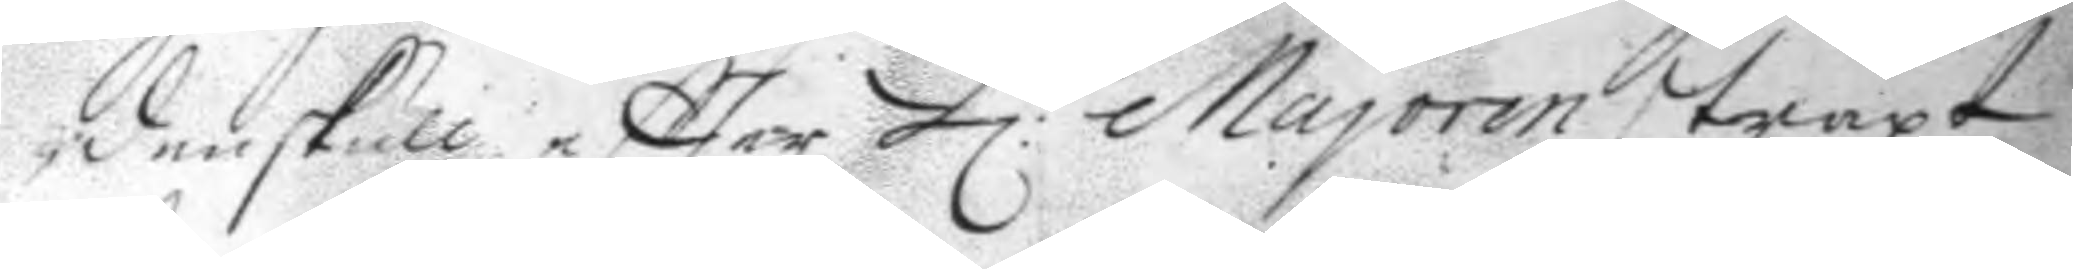denskull eftter H:r Majoren straxt
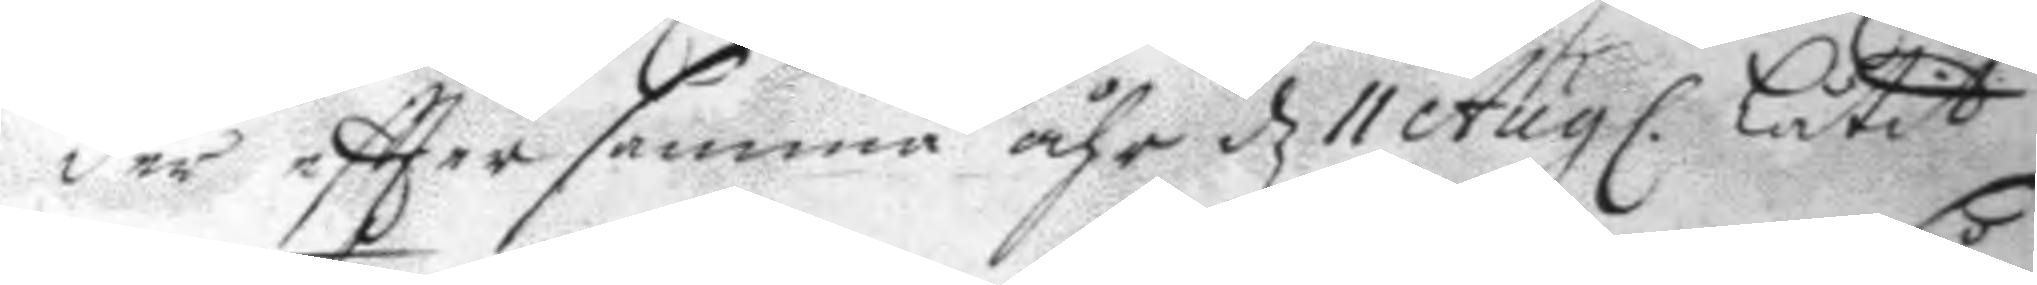der eftter samma åhr d 11 Augl. låtit
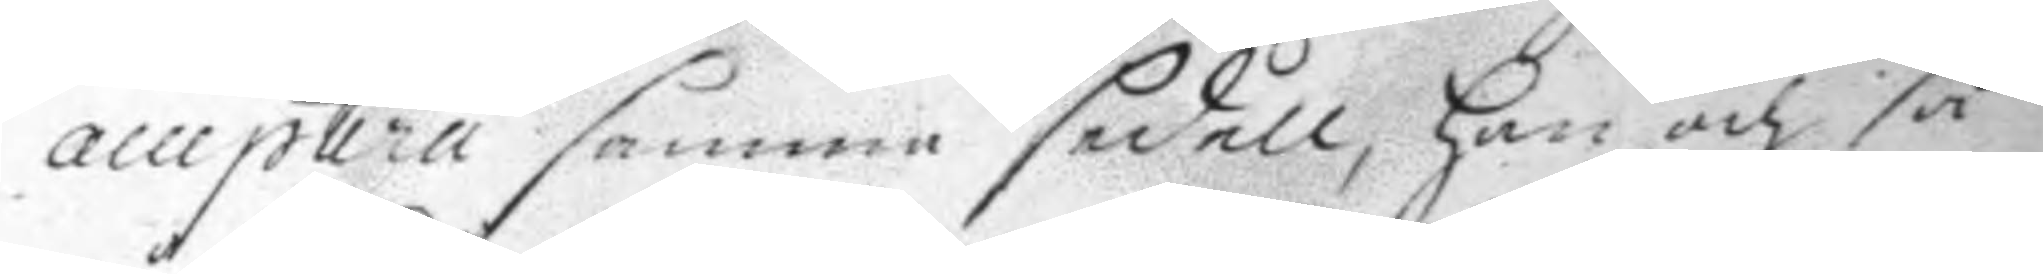acceptera samma sedell, han och så
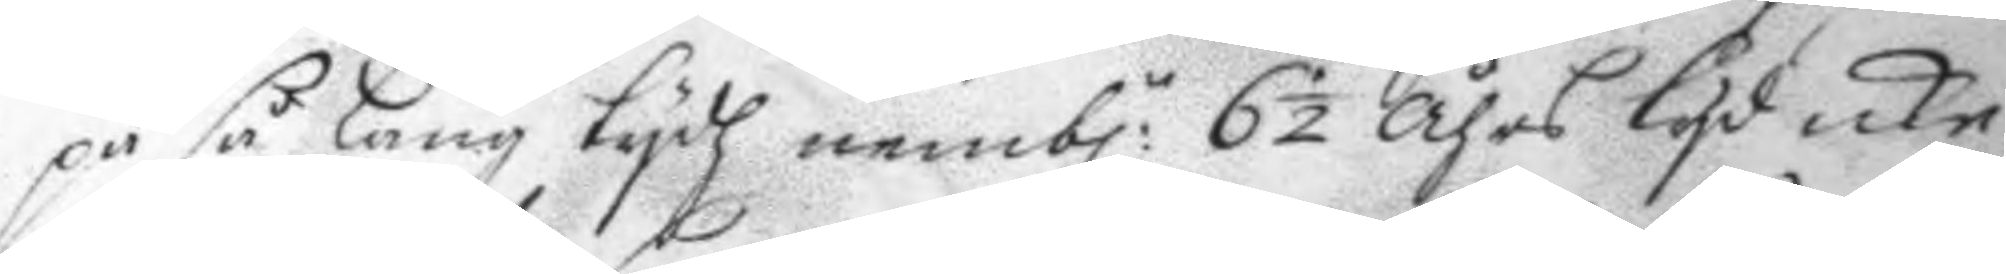på så lång tydh nemb:n 6½ åhrs tyd icke
